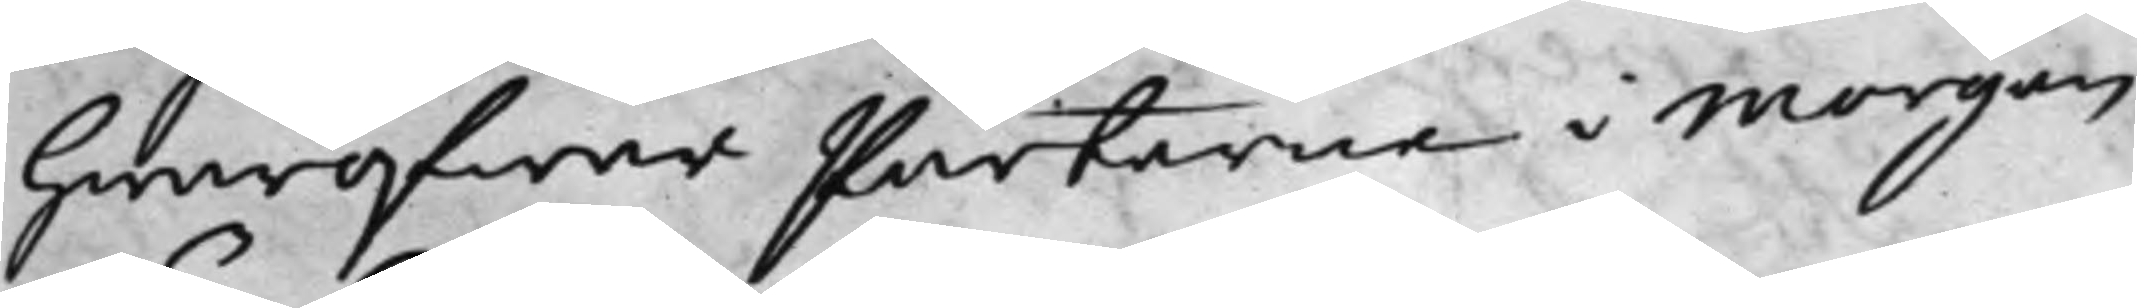hwaröfwer Parterne i Morgon
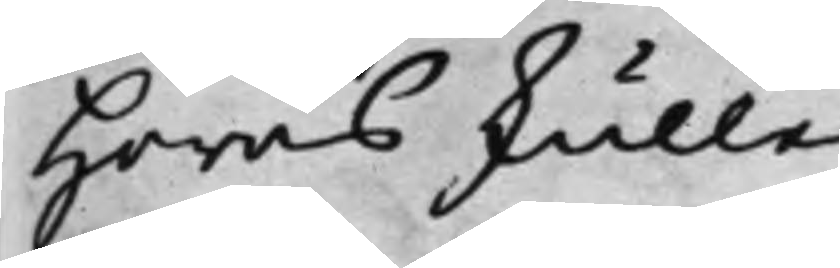höras skulle.
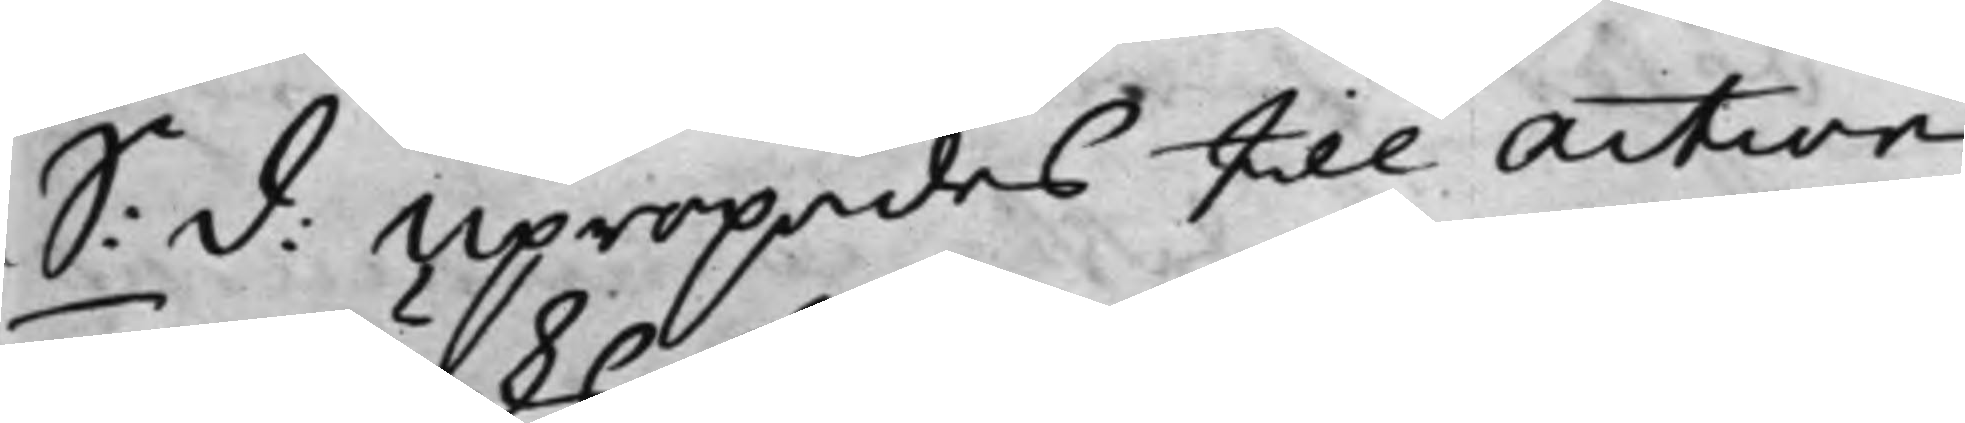S: D: Upropades till action
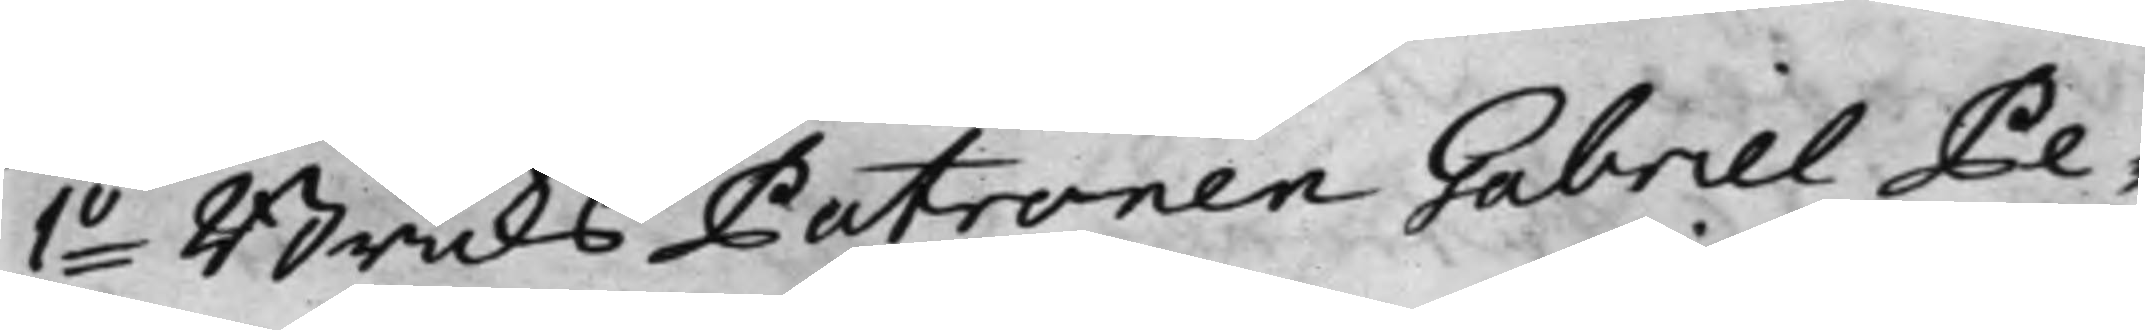1o BruksPatronen Gabriel Pe¬
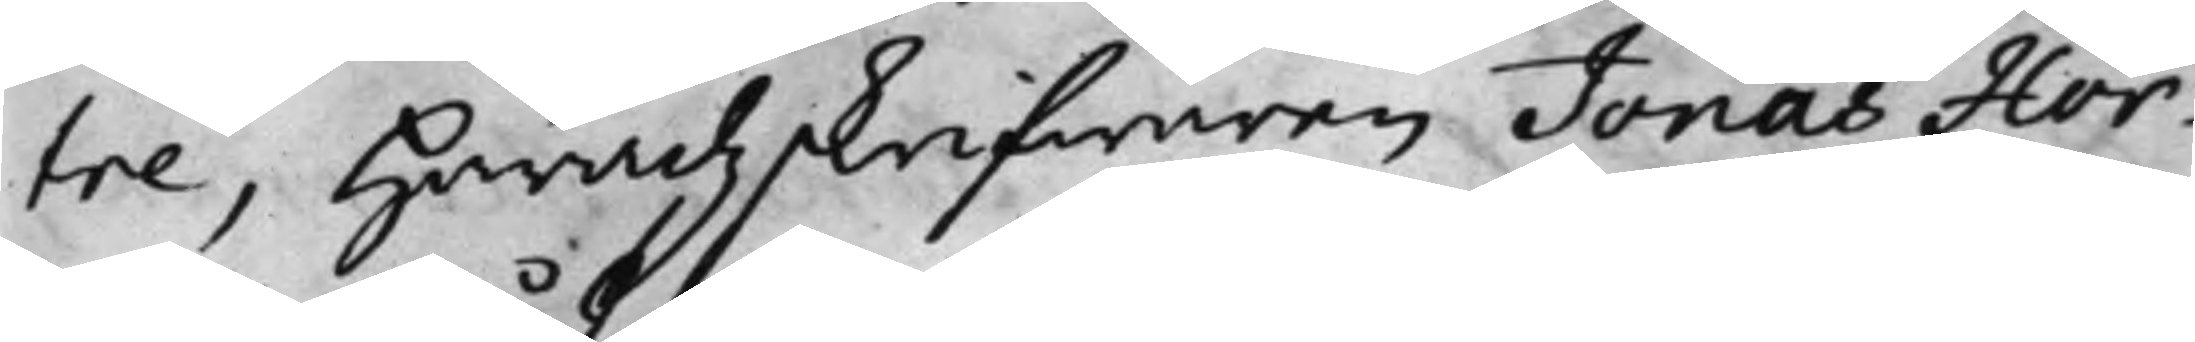tre, Häradzskrifwaren Jonas Hör¬
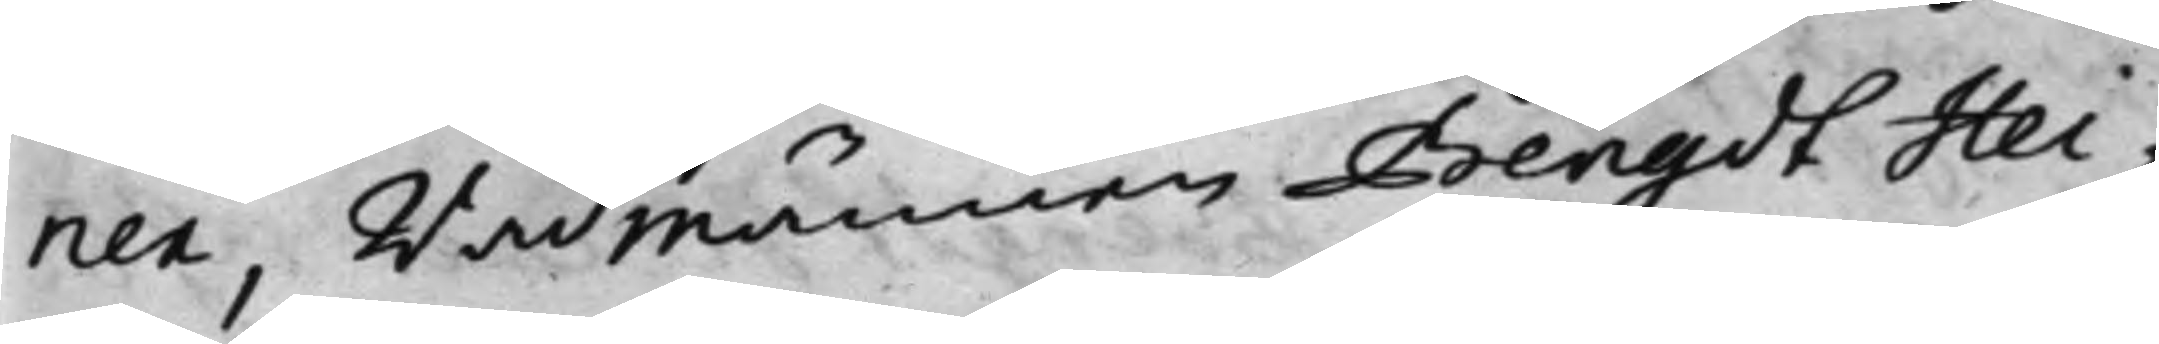ner, Rådmännen Bengdt Hei¬
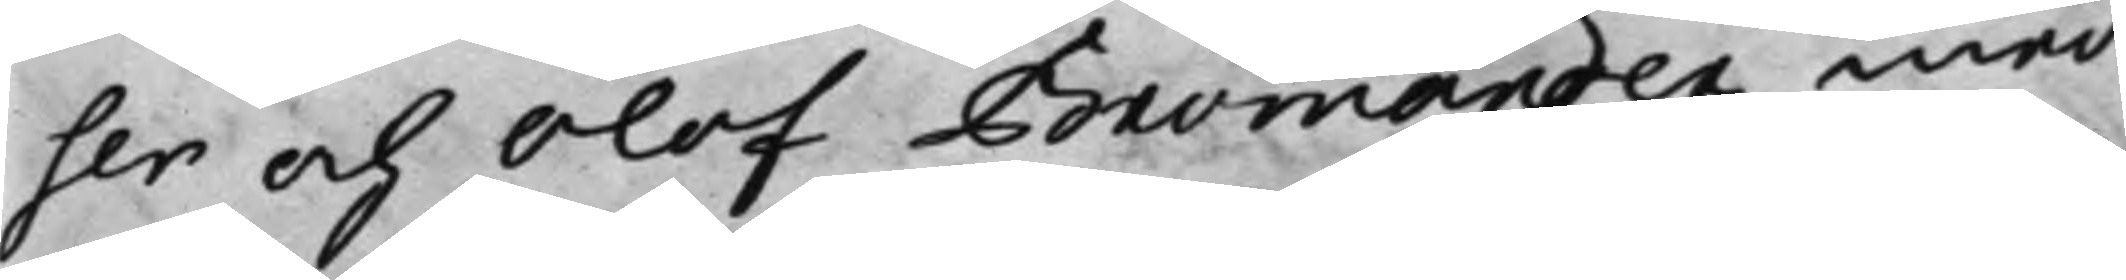ser och Olof Bromander med
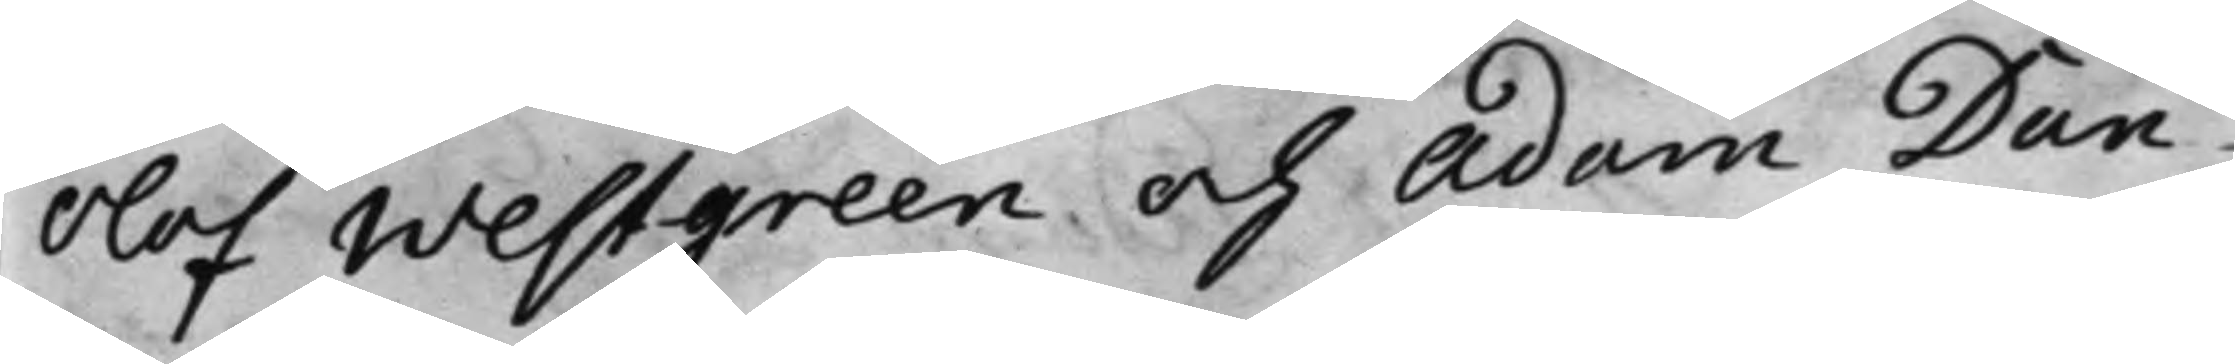Olof Westgreen och Adam Dan¬
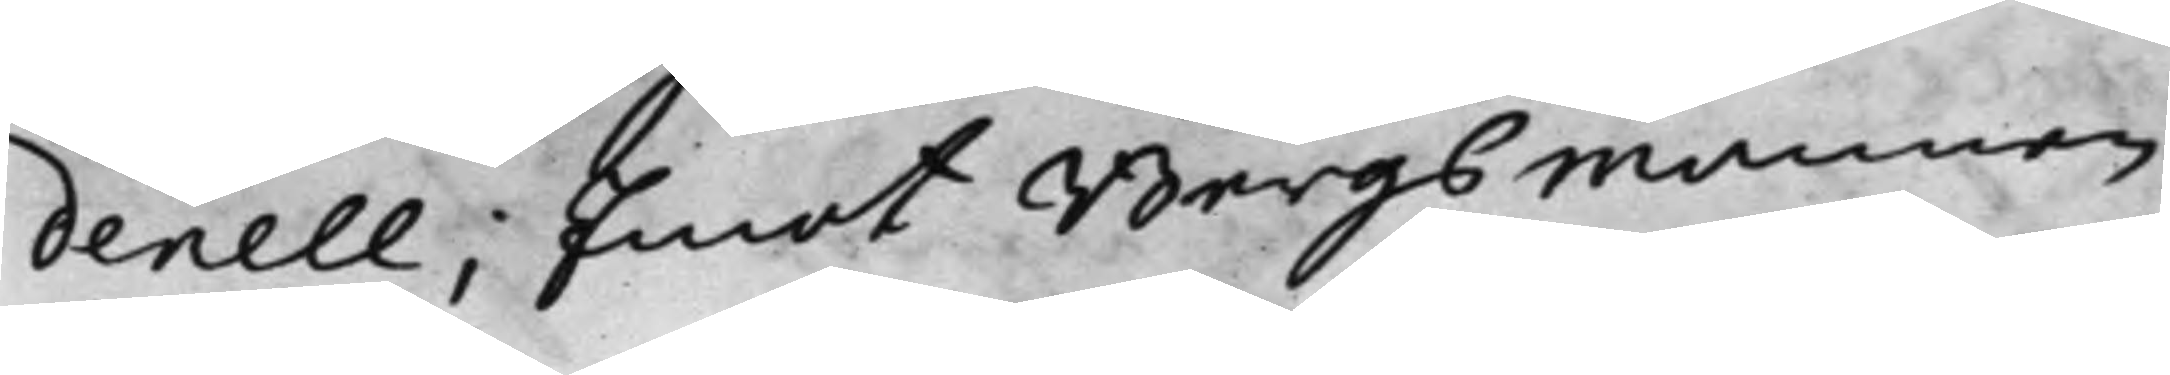denell; Emot Bergsmannen
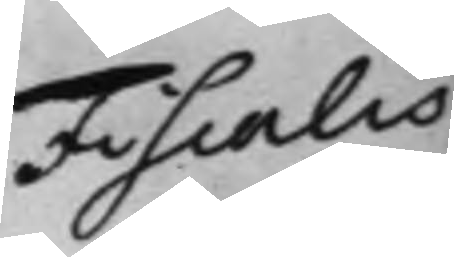Fiscalis
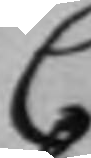C
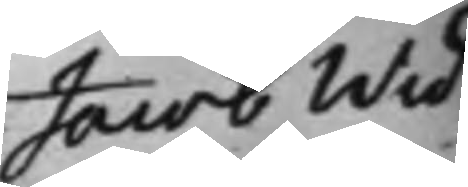Jacob Wid¬
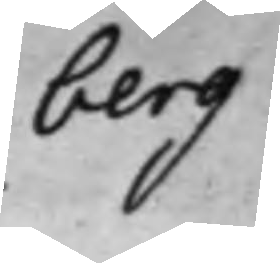berg.
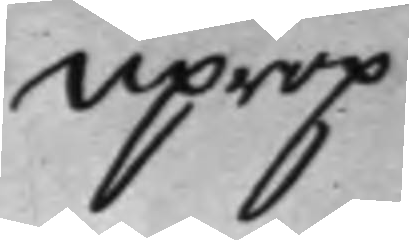Uprop.
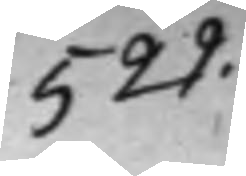529.
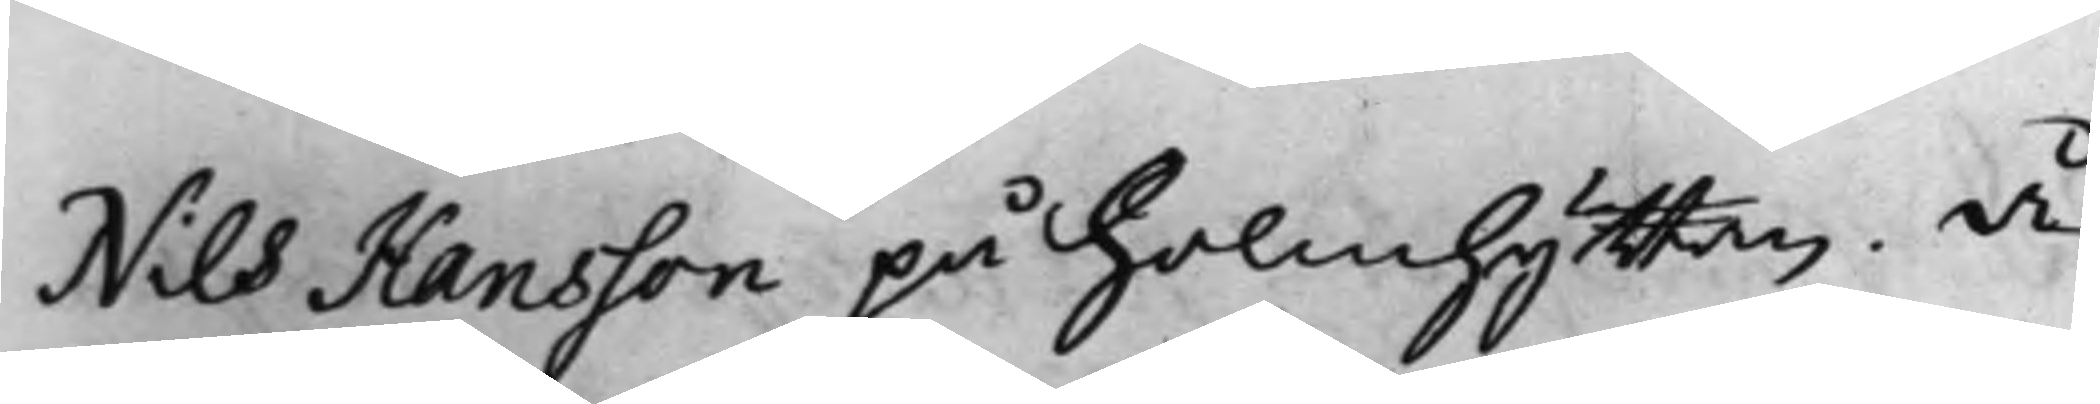Nils Hansson på Holmhyttan, å
